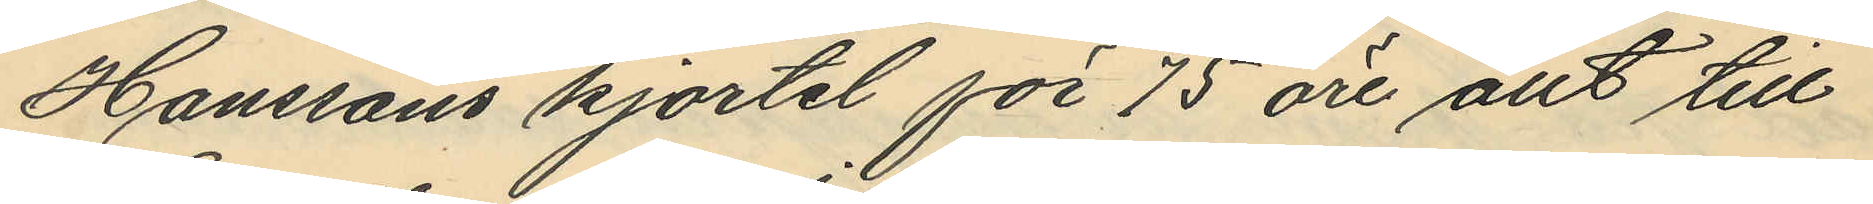Hanssons kjortel för 75 öre, allt till
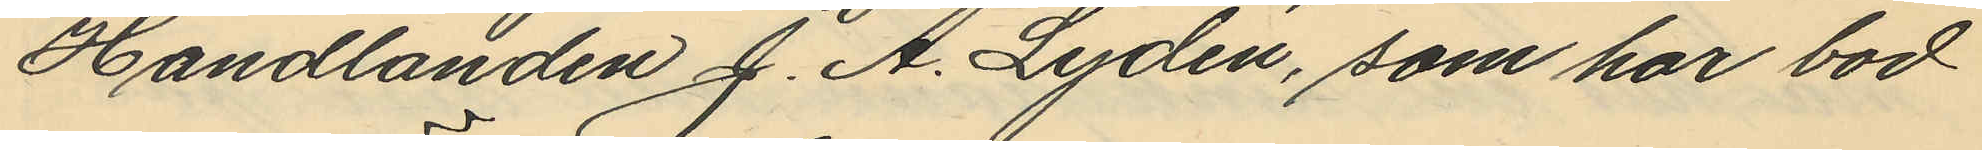Handlanden J. A. Lydén, som har bod
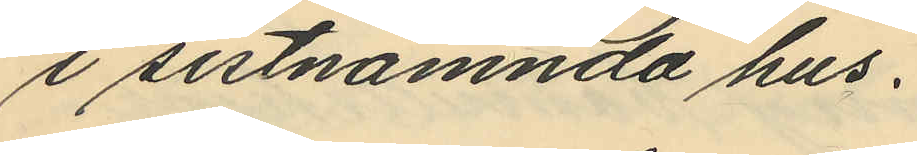i sistnämnda hus.
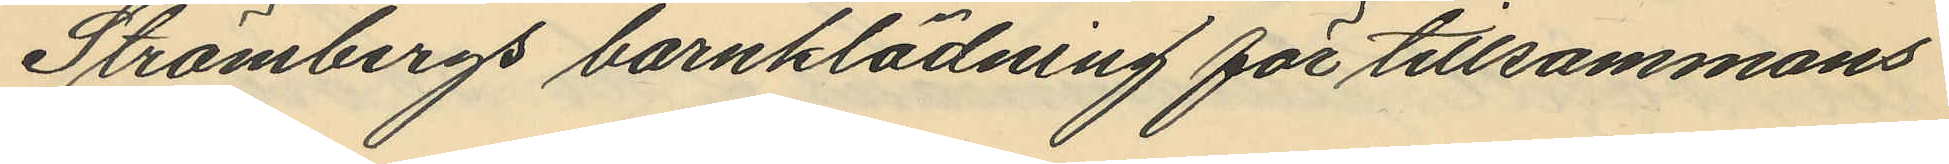Strömbergs barnklädning för tillsammans
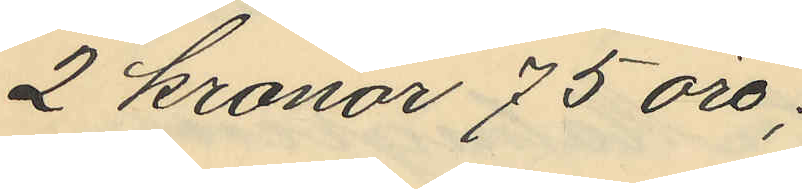2 kronor 75 öre;
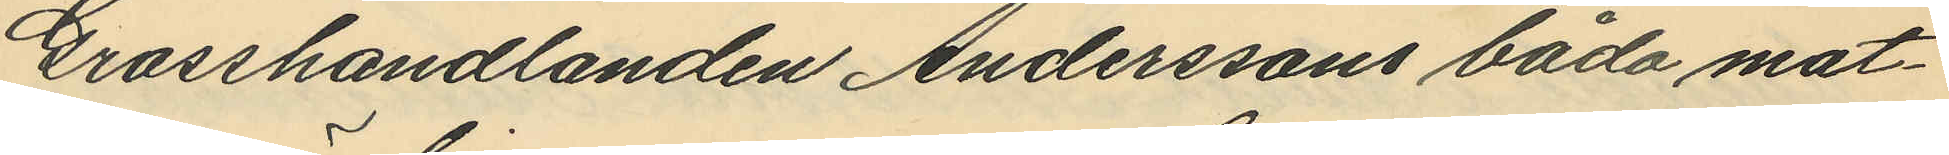Grosshandlanden Anderssons båda mat¬
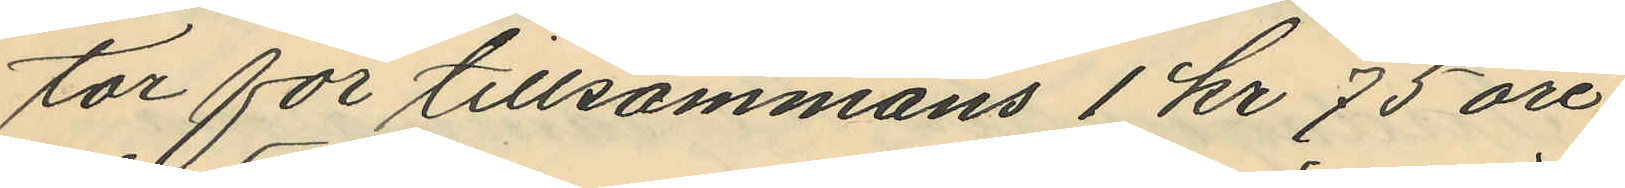tor för tillsammans 1 kr 75 öre
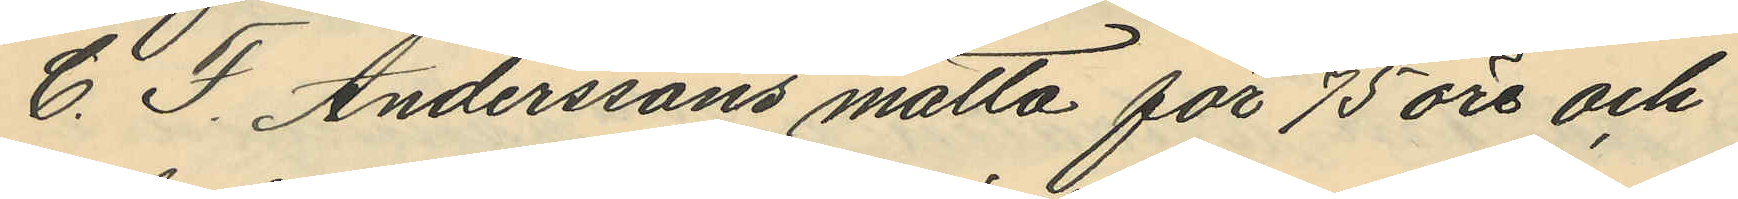C. F. Anderssons matta för 75 öre och
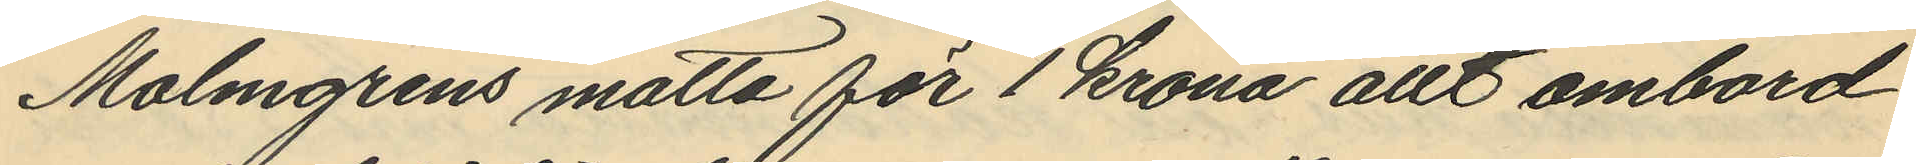Malmgrens matta för 1 krona allt ombord
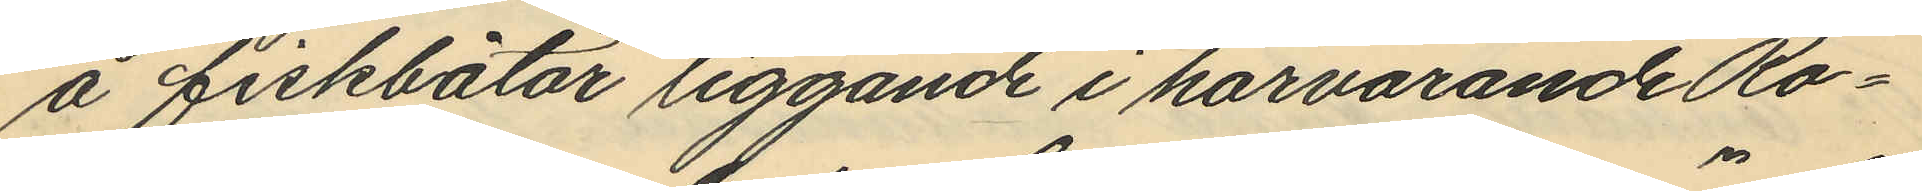å fiskbåtar liggande i härvarande Ro¬
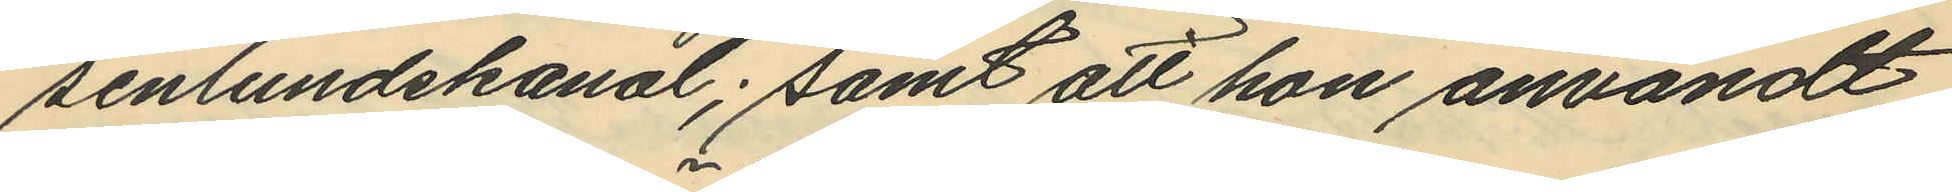senlundskanal; samt att hon användt
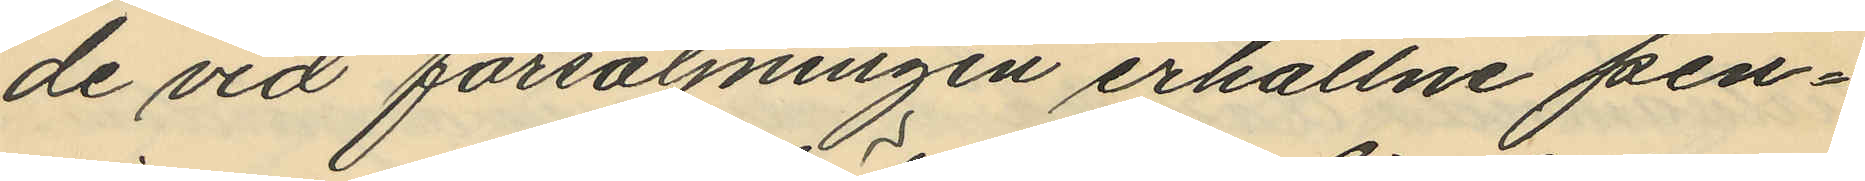de vid försäljningen erhållne pen¬
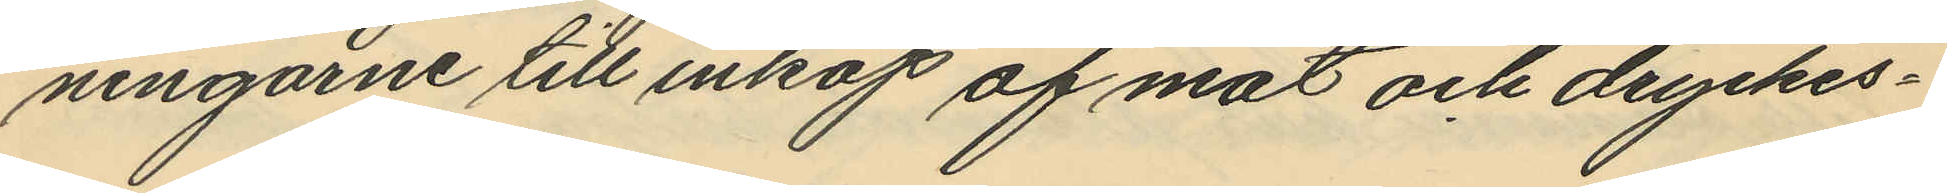ningarne till inköp af mat och dryckes¬
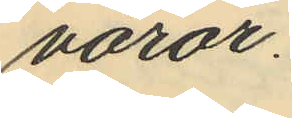varor.
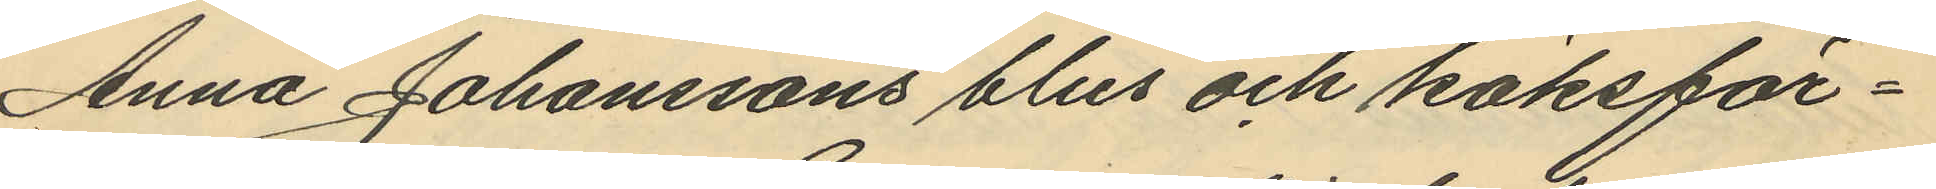Anna Johanssons blus och köksför¬
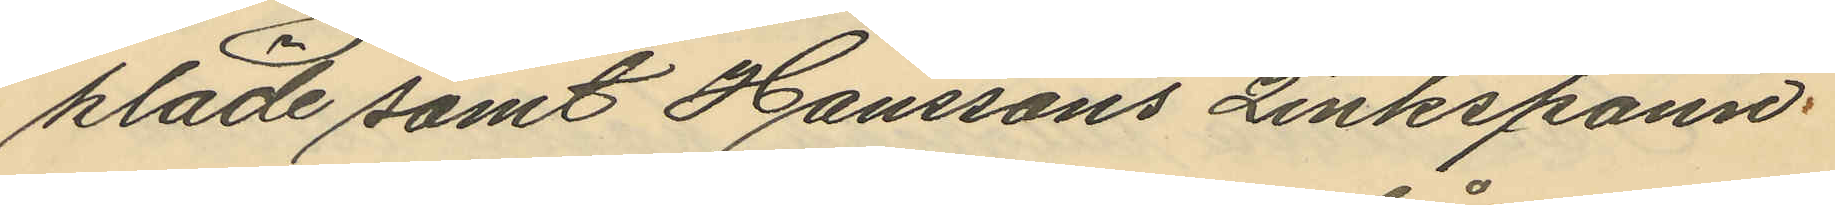kläde samt Hanssons zinkspann;
